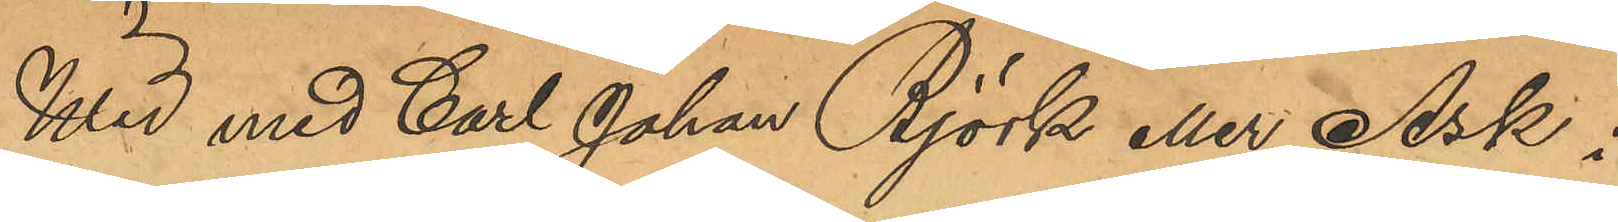Wid med Carl Johan Björk eller Ask i
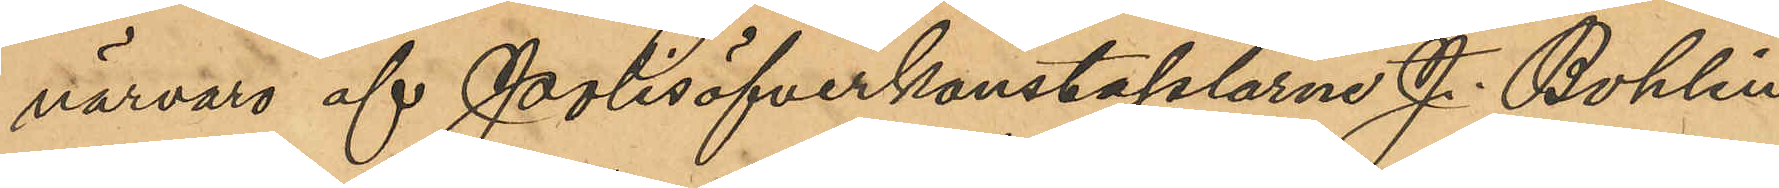närvaro af Polisöfverkonstaplarne J. Bohlin
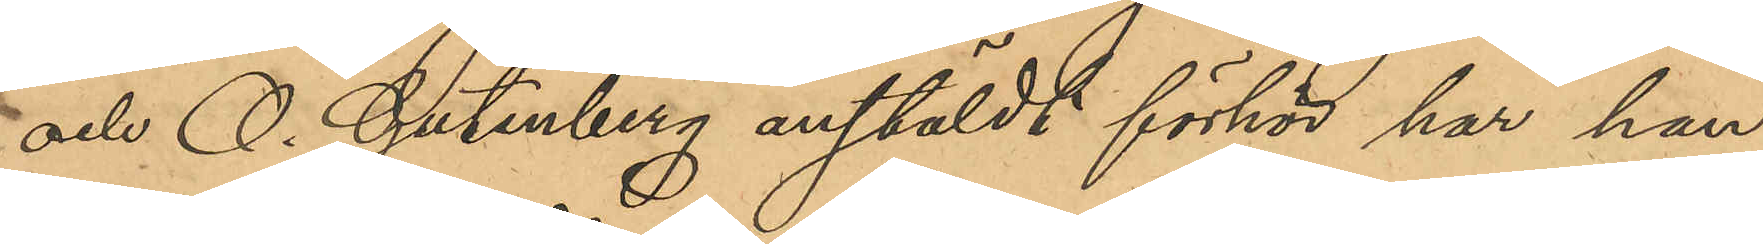och O. Gutenberg anstäldt förhör har han
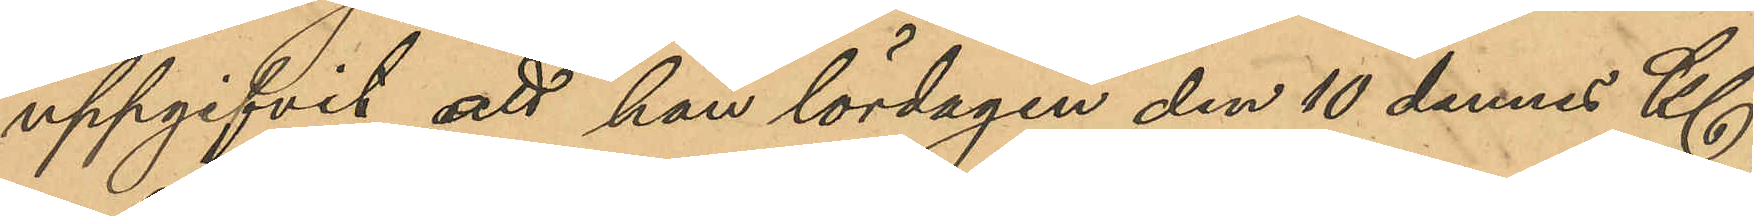uppgifvit, att han lördagen den 10 dennes Kl
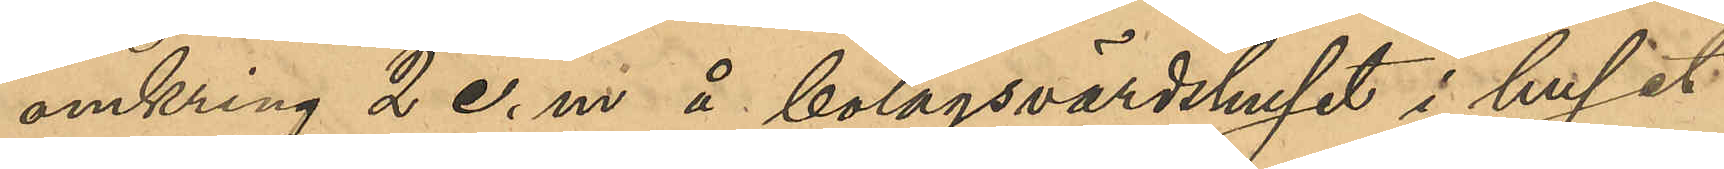omkring 2 e. m. å bolagsvärdshuset i huset
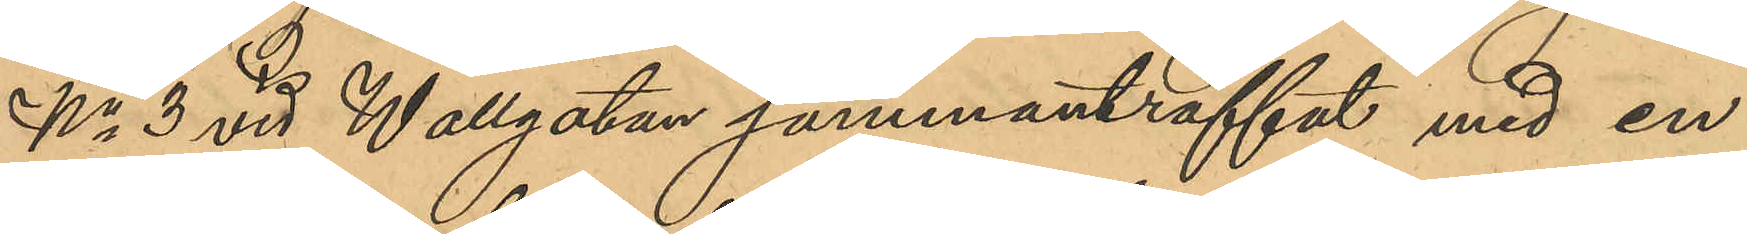No 3 vid Wallgatan sammanträffat med en
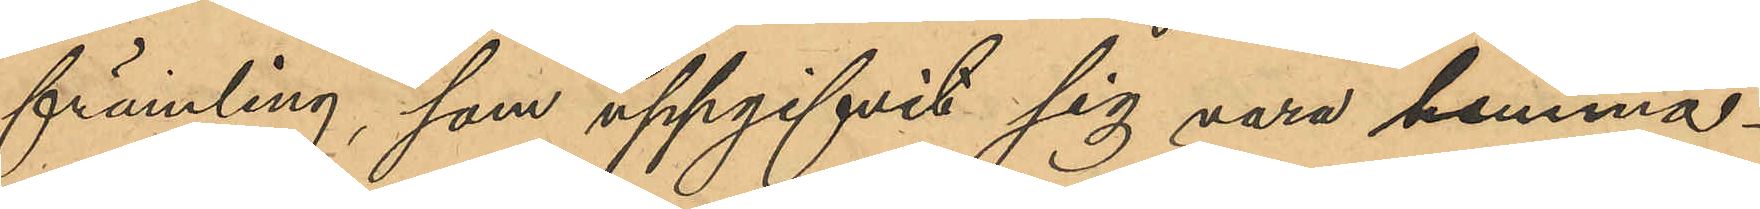främling, som uppgifvit sig vara hemma¬
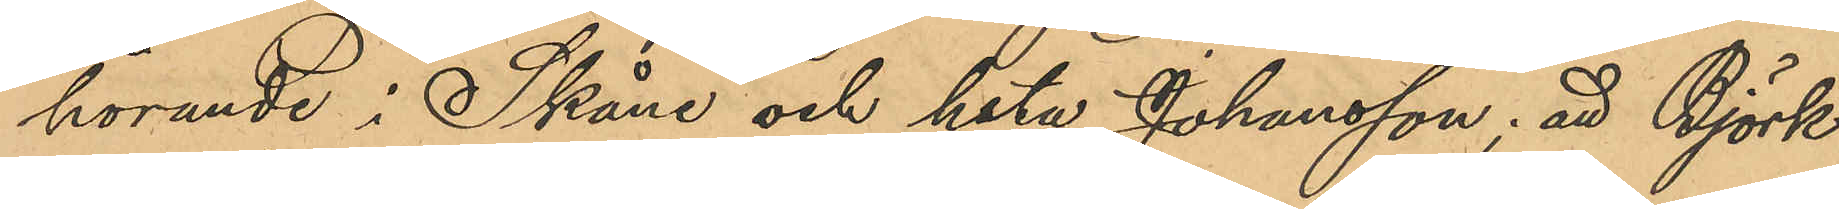hörande i Skåne och heta Johansson; att Björk
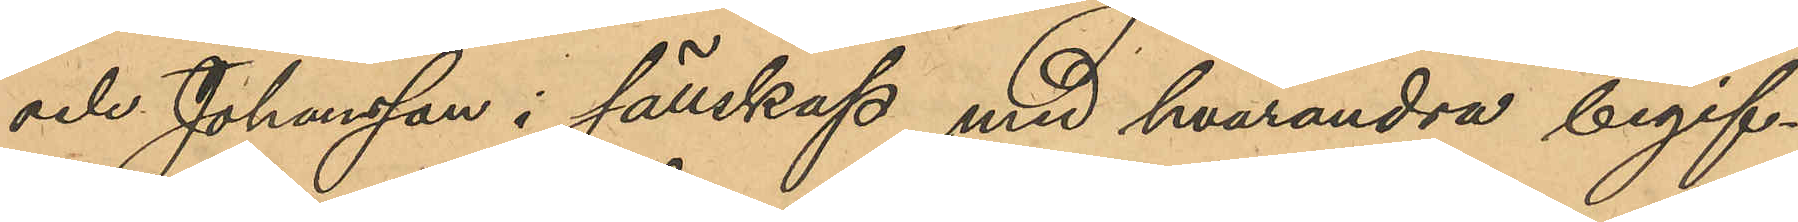och Johansson i sällskap med hvarandra begif¬
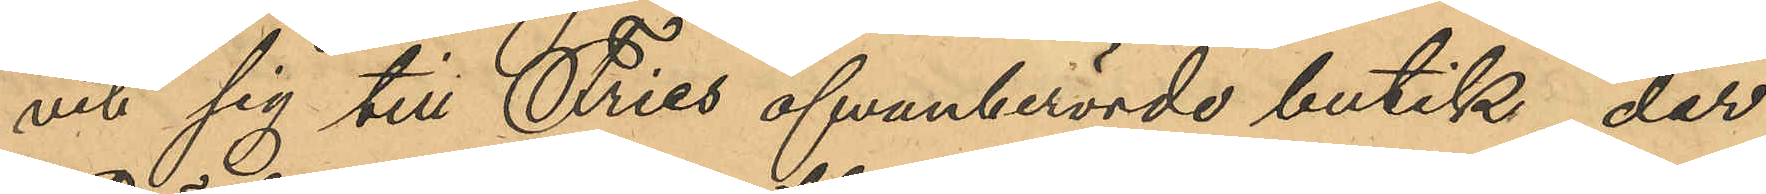vit sig till Fries ofvanberrörde butik, der
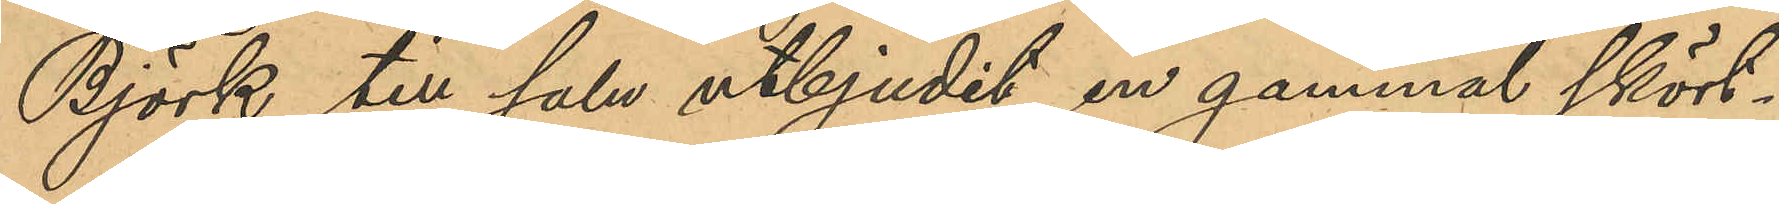Björk till salu utbjudit en gammal skört¬
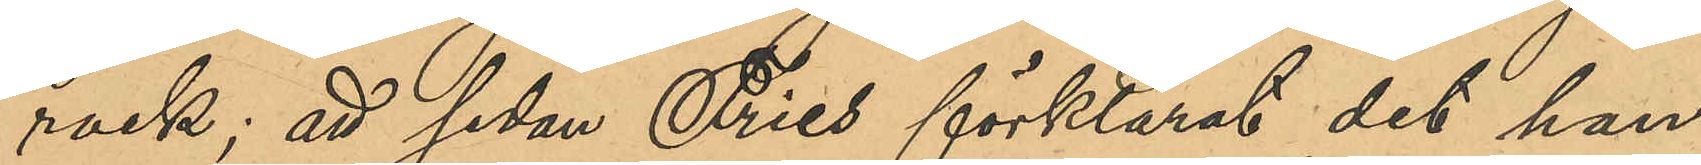rock; att sedan Fries förklarat det han
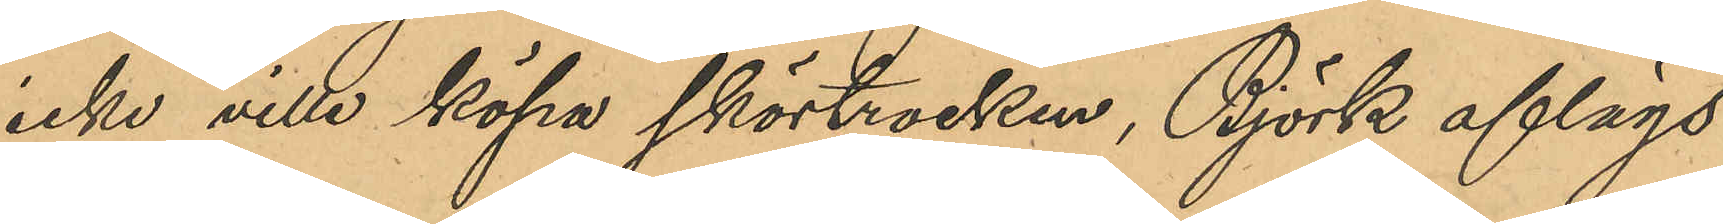icke ville köpa skörtrocken, Björk aflägs¬
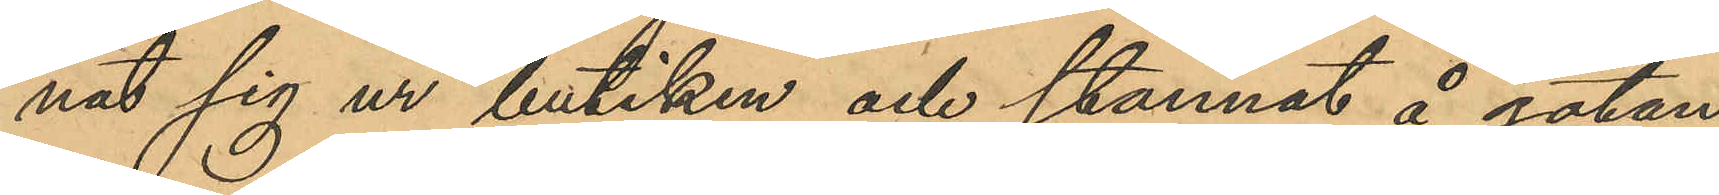nat sig ur butiken och stannat å gatan
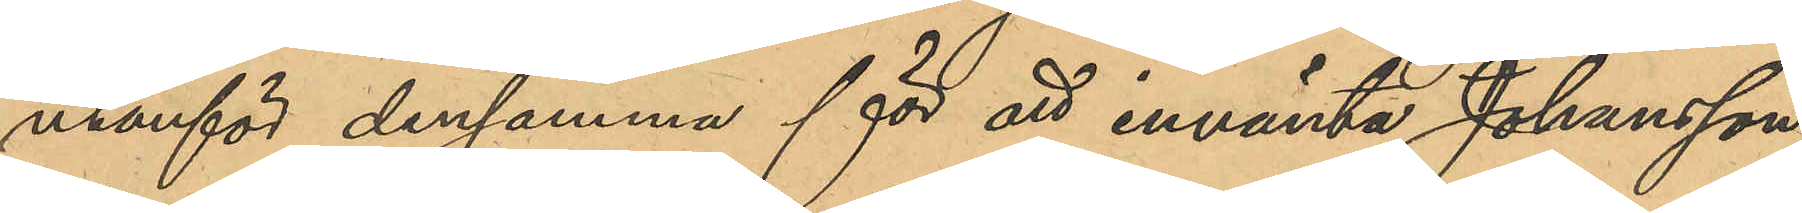utanför densamma för att invänta Johansson,
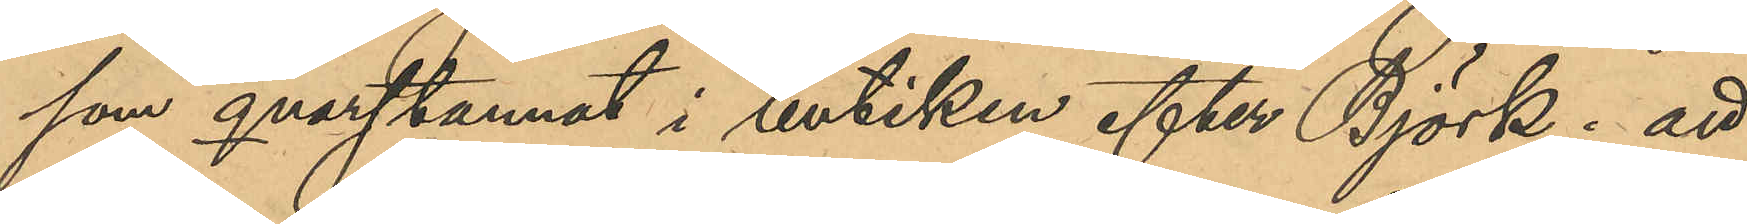som qvarstannat i butiken efter Björk; att
